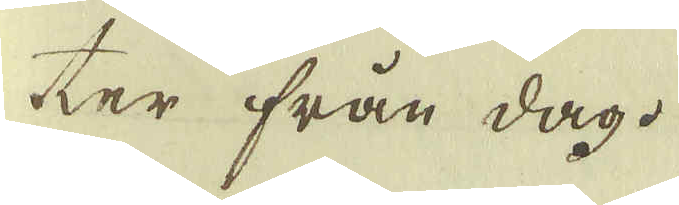ter från dag.
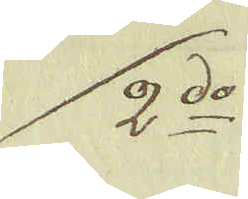2:do
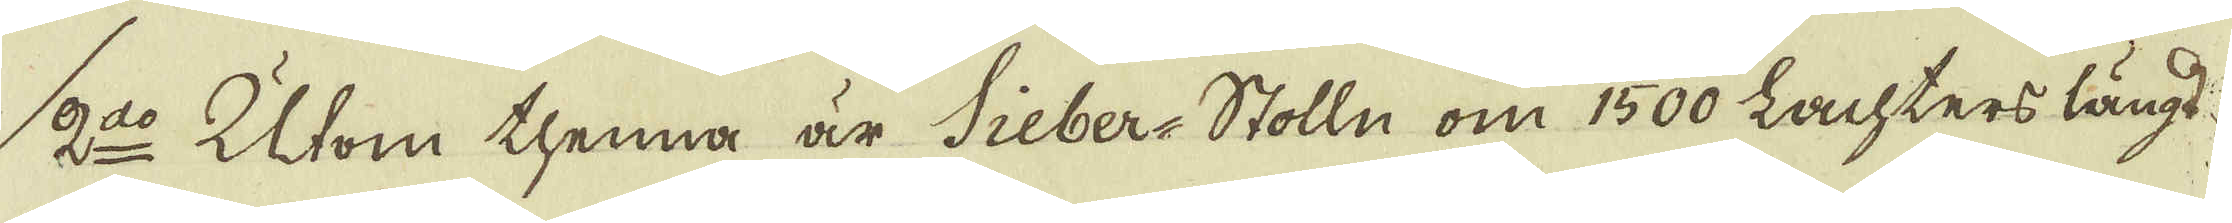2:do Utom thenna är Sieber-Stolln om 1500 Lachters längd
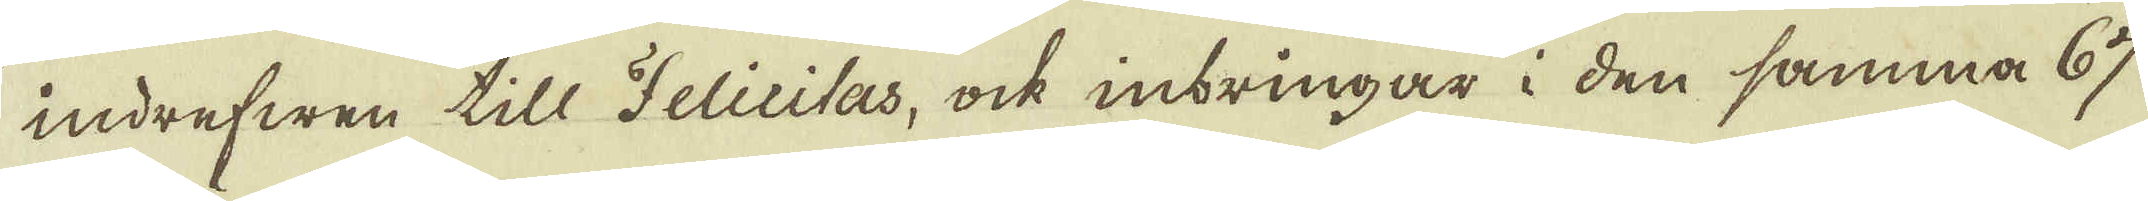indrefwen till Felicitas, ock inbringar i den samma 67
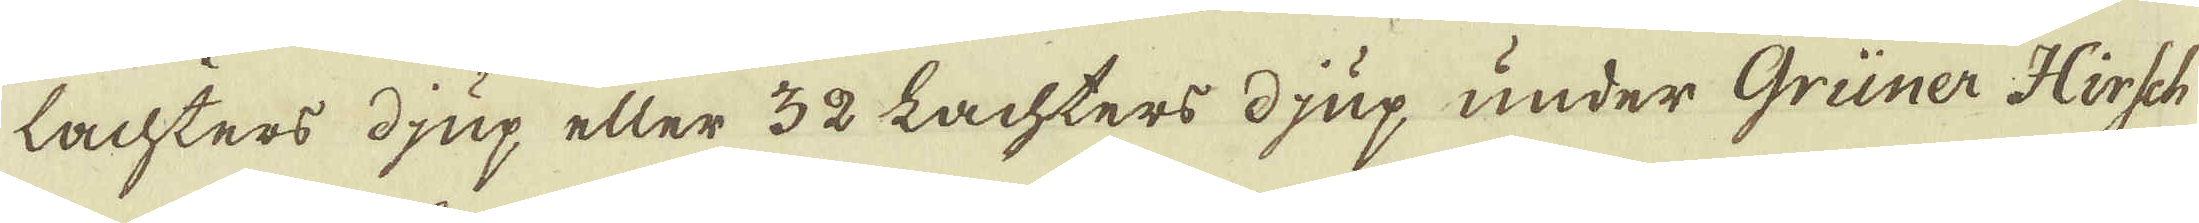lachters djup eller 32 Lachters djup under Grüner Hirsch
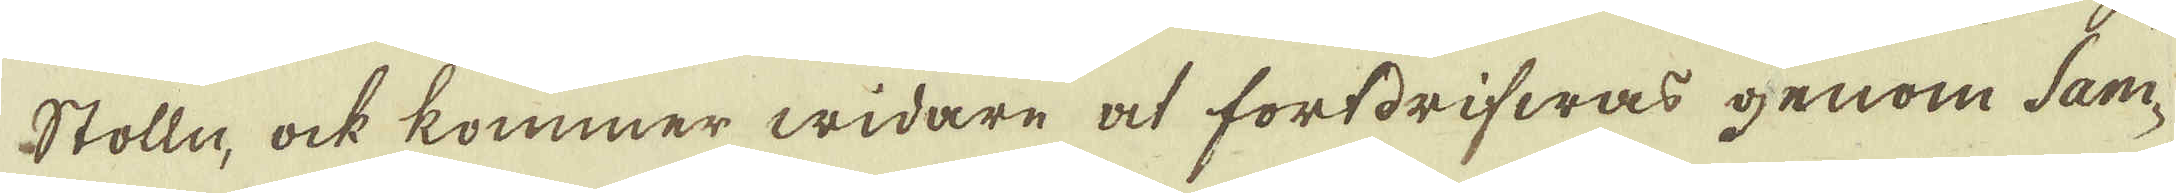Stolln, ock kommer widare at fortdrifwas genom Sam-
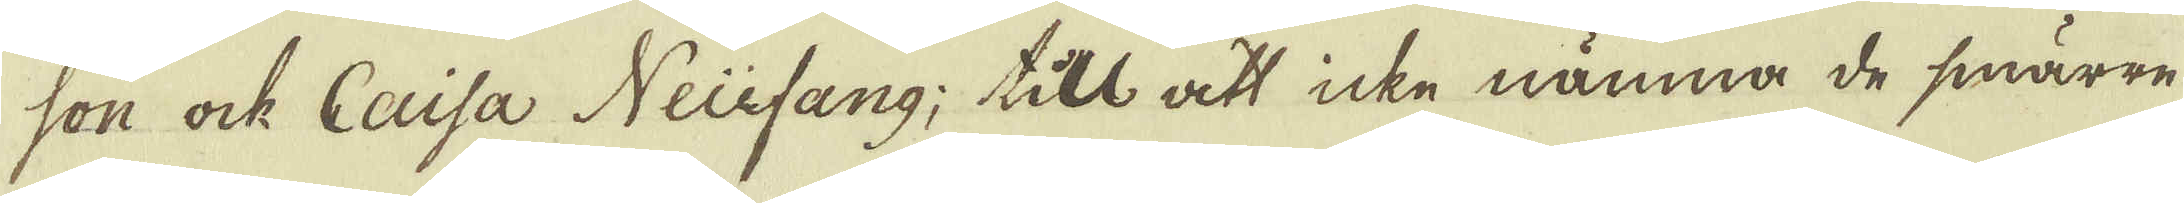son ock Caisa Neüsang; till att icke nämna de smärre
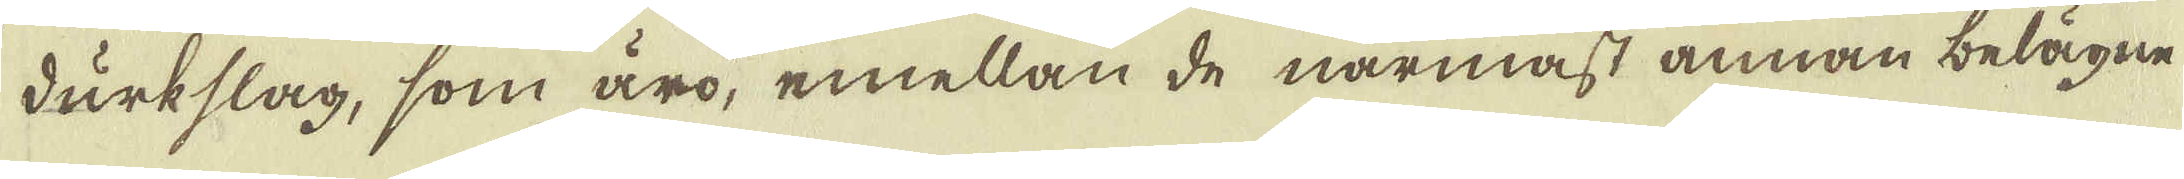durkslag, som äro, emellan de närmast annan belägne
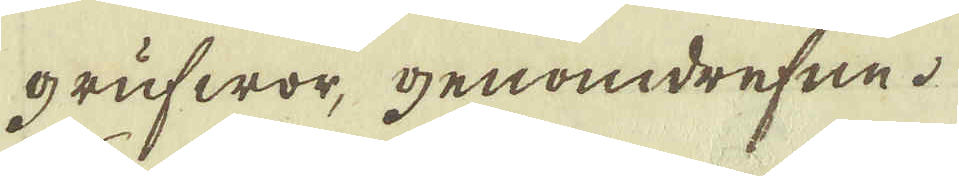grufwor, genomdrefne.
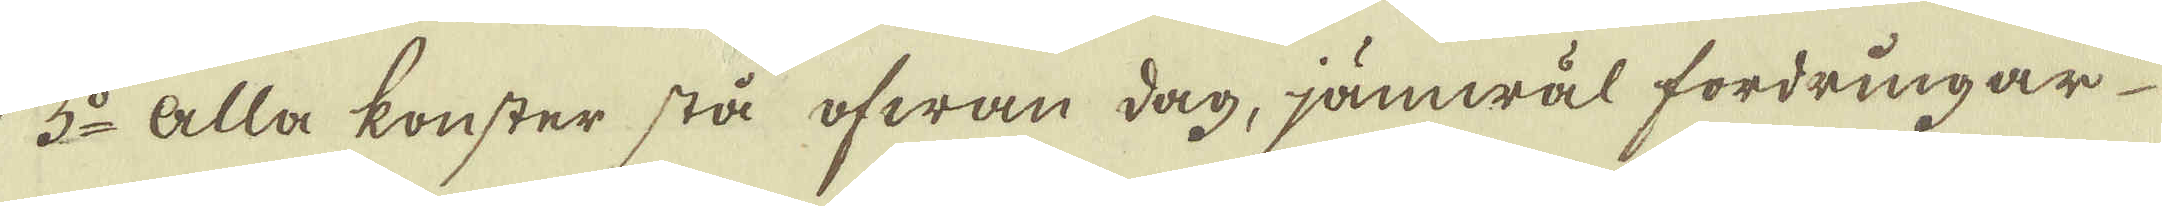3:o Alla konster stå ofwan dag, jämwäl fordringar
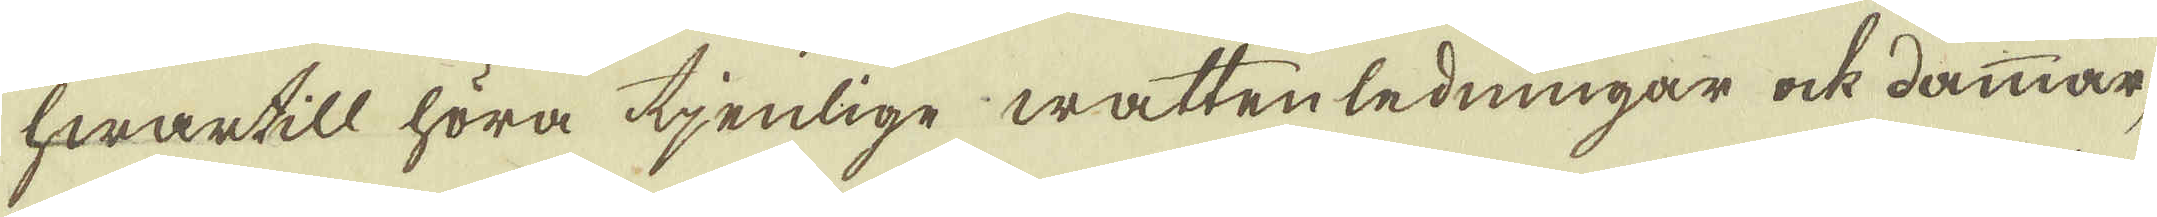hwartill höra tjenlige wattenledningar ock dammar,
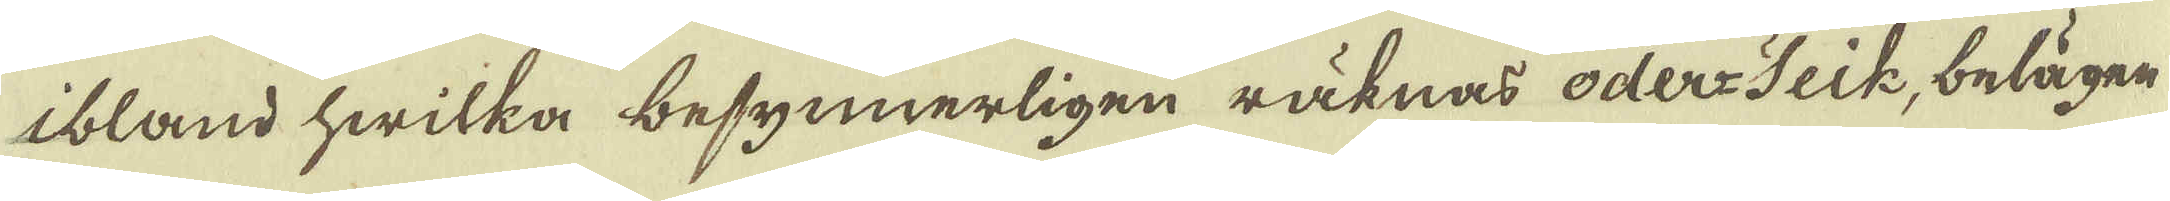ibland hwilka besynnerligen räknas oder-Feik, belägen
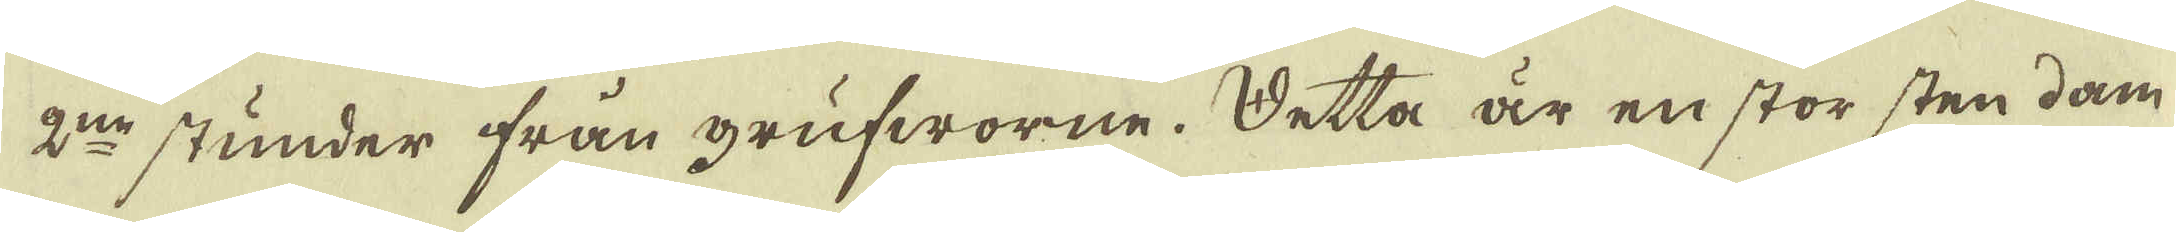2:ne stunder från grufworne. Detta är en stor sten dam
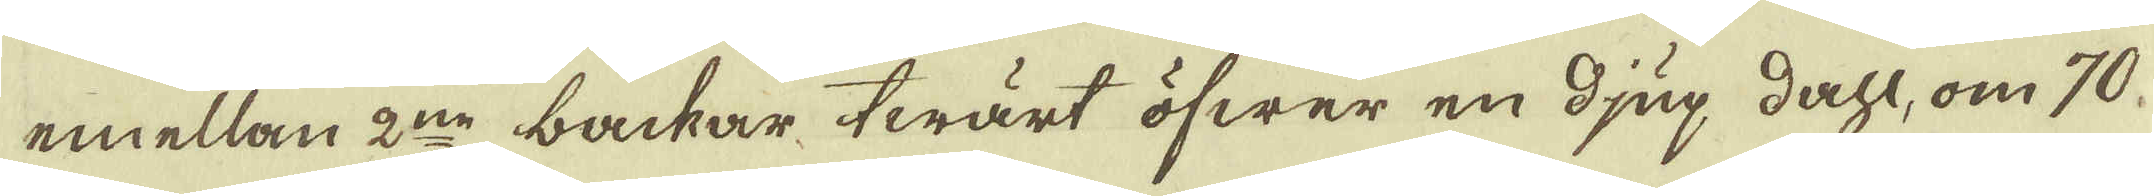emellan 2:ne backar twärt öfwer en djup dahl, om 70
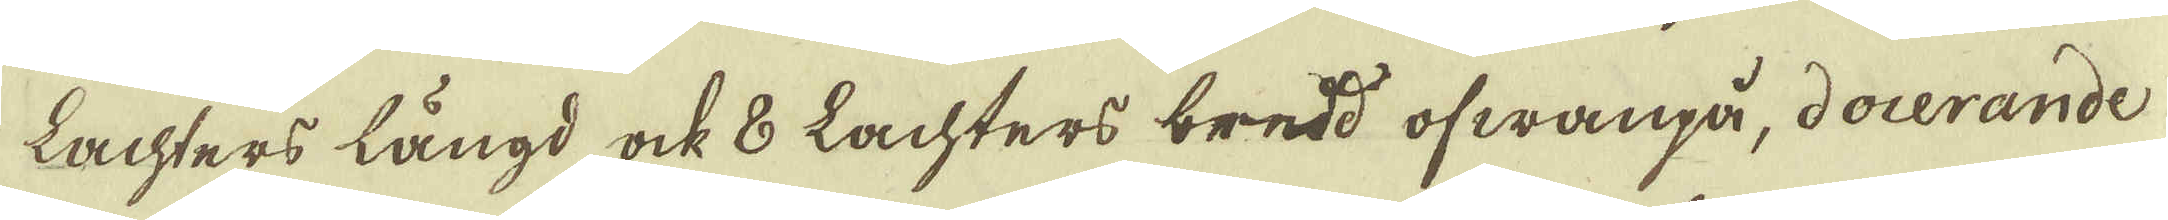Lachters längd ock 8 Lachters bredd ofwanpå, docerande
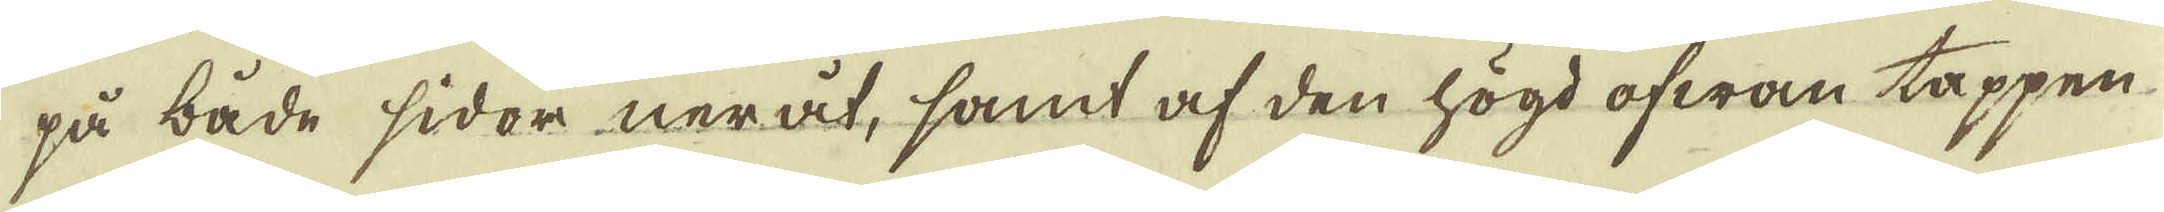på både sidor neråt, samt af den högd ofwan toppen
